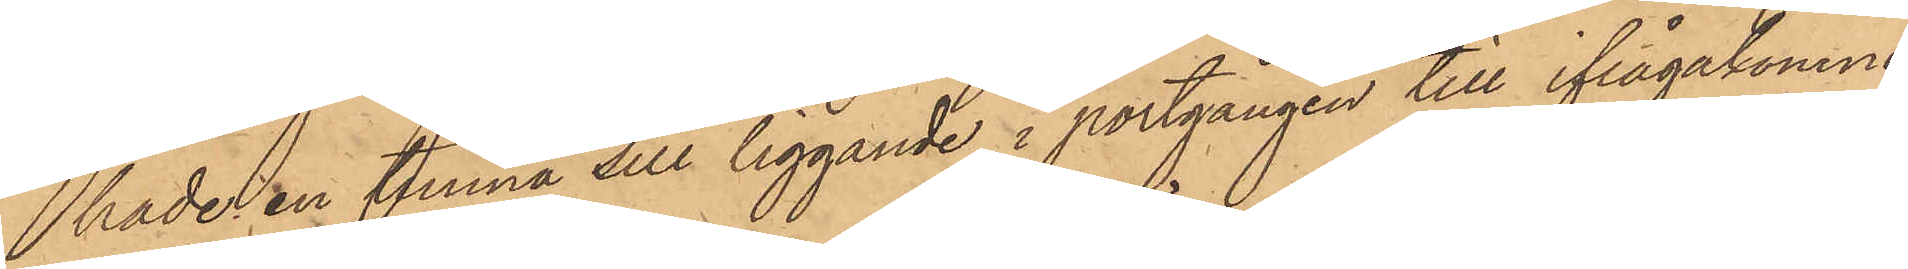hade en tunna sill liggande i portgången till ifrågakomne
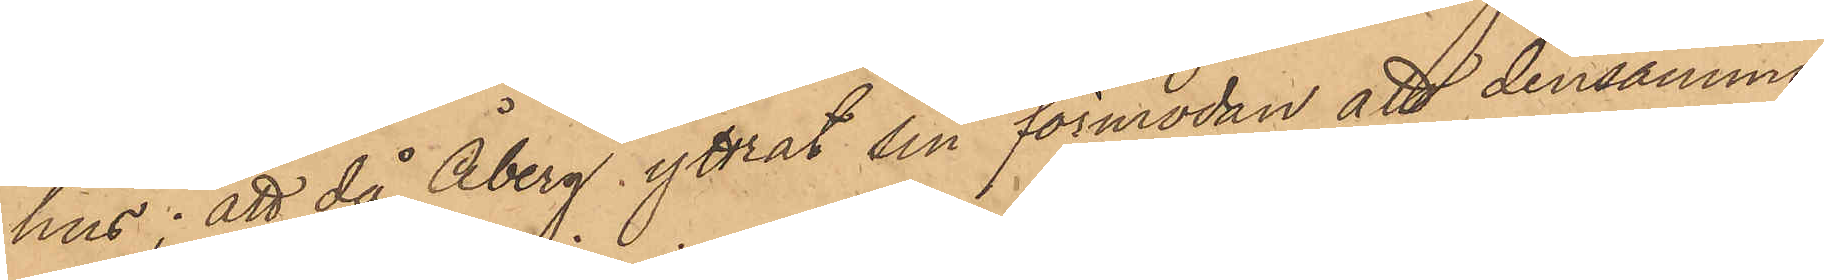hus; att då Åberg yttrat sin förmodan att densamma
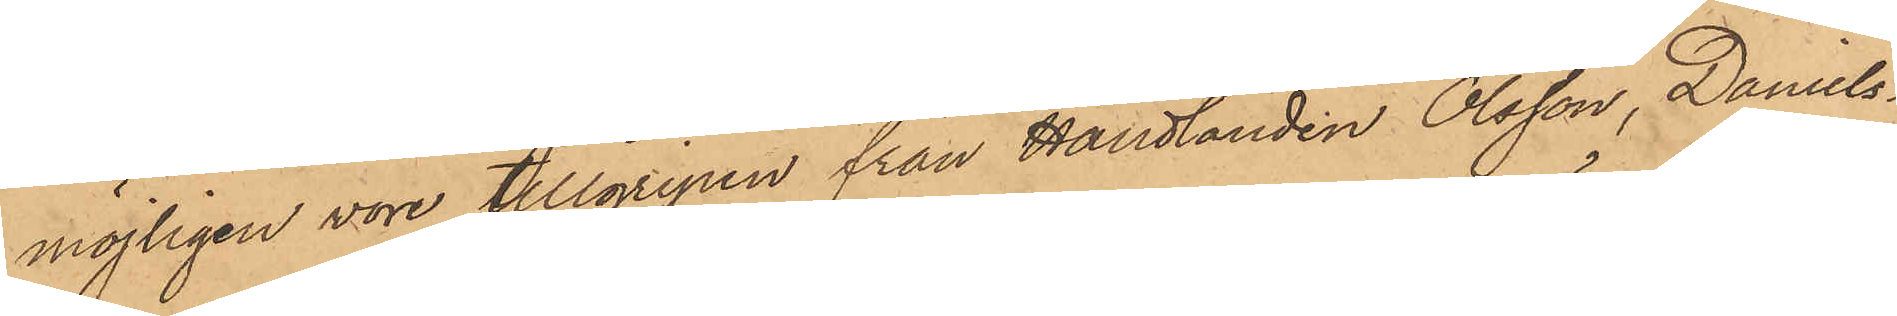möjligen vore tillgripen från Handlanden Olsson, Daniels¬
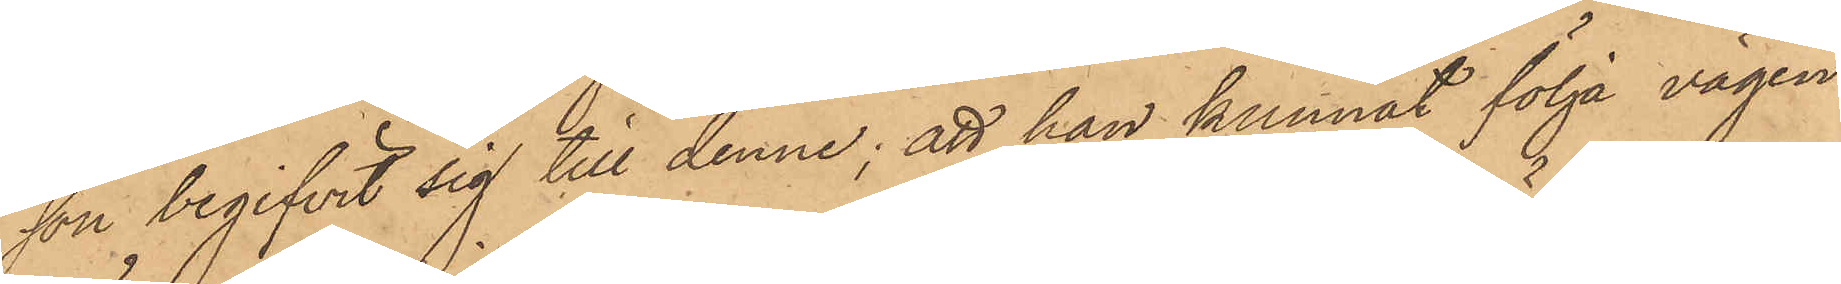son begifvit sig till denne; att han kunnat följa vägen
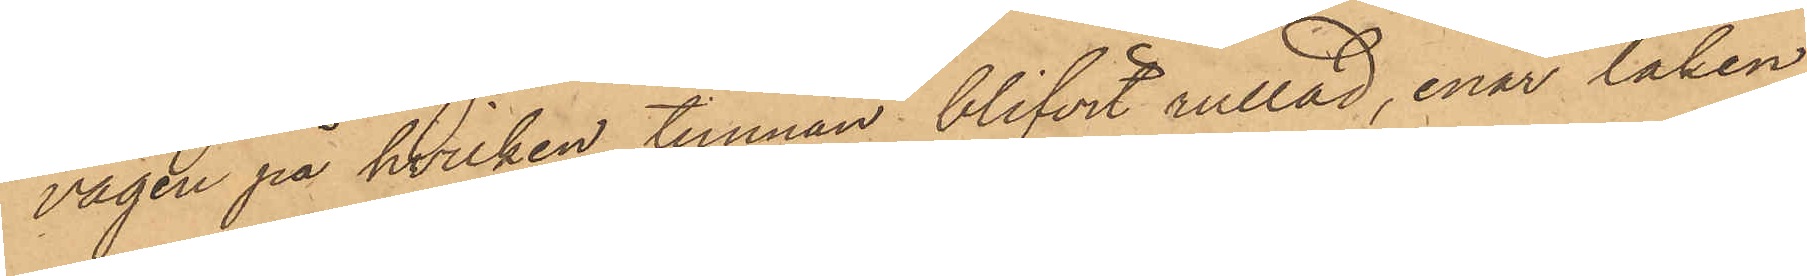vägen på hvilken tunnan blifvit rullad, enär laken
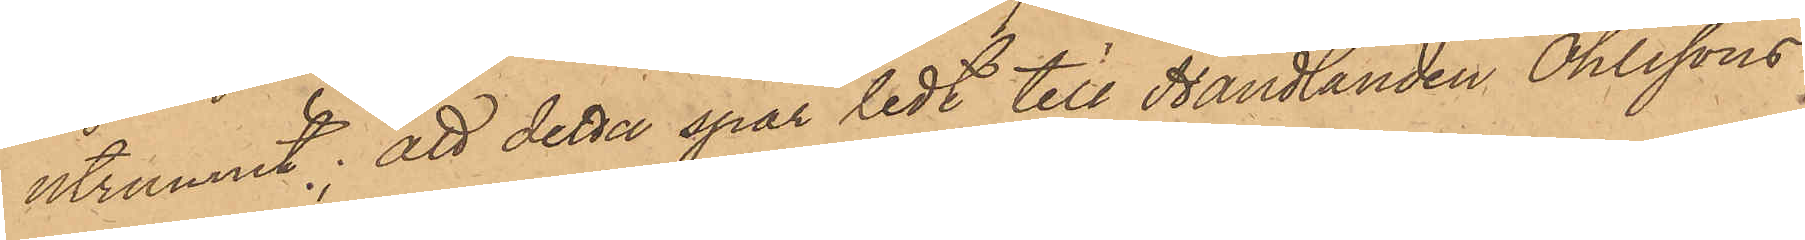utrunnit; att detta spår ledt till Handlanden Ohlssons
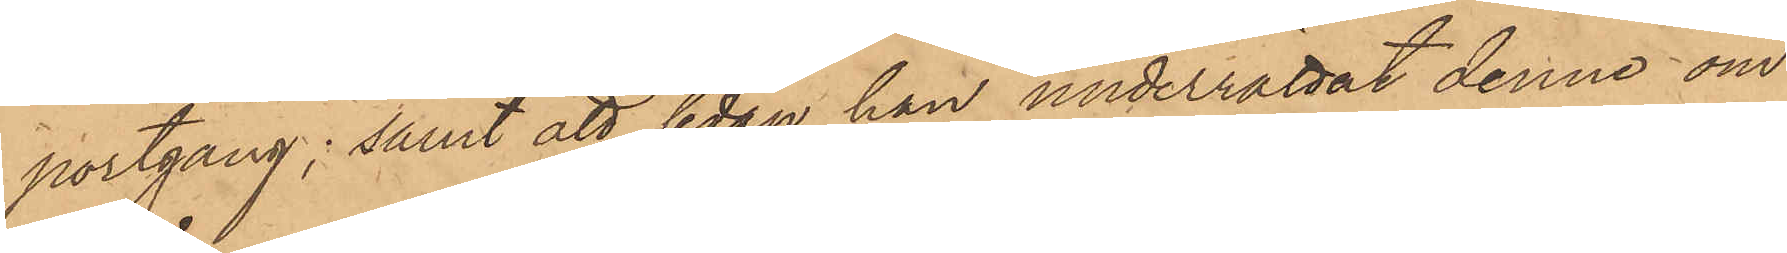portgång; samt att sedan han underrättat denne om
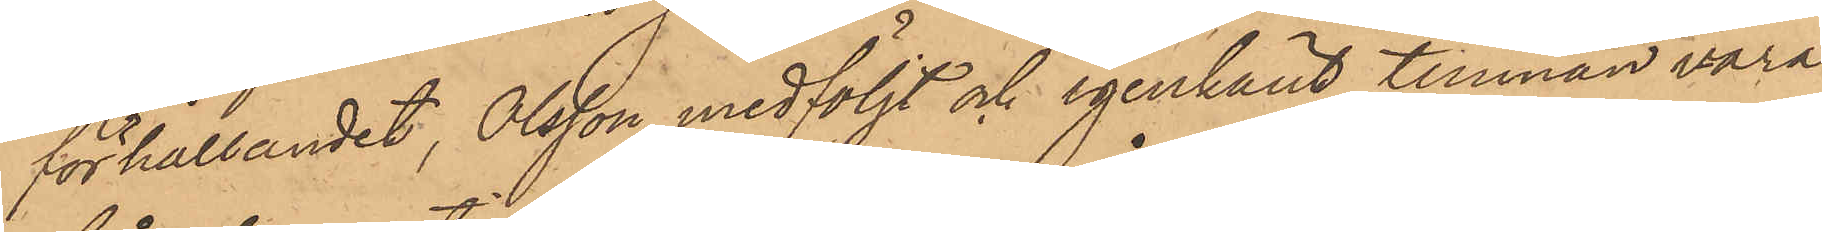förhållandet, Olsson medföljt och igenkänt tunnan vara
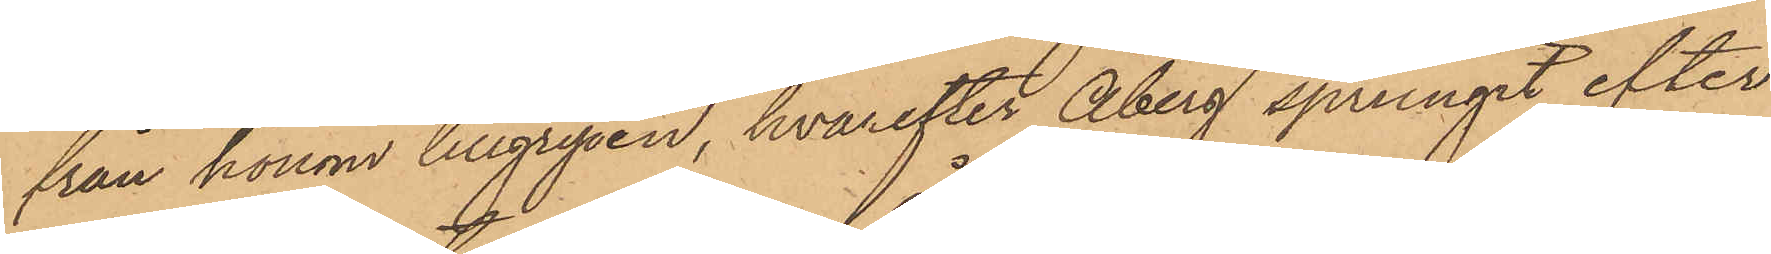från honom tillgripen, hvarefter Åberg sprungit efter
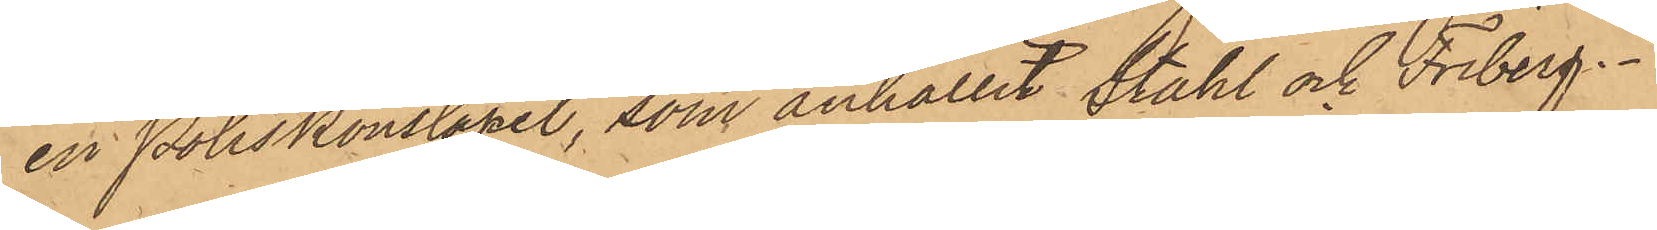en Poliskonstapel, som anhållit Ståhl och Friberg.
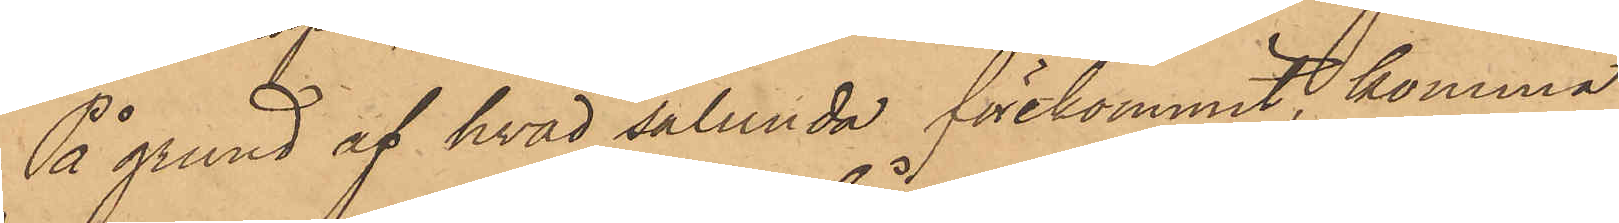På grund af hvad sålunda förekommit, komma
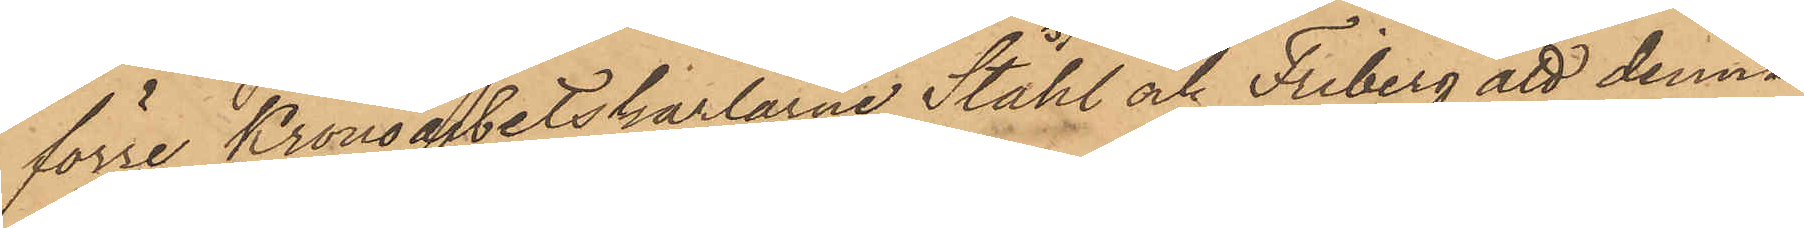förre Kronoarbetskarlarne Ståhl och Friberg att denna
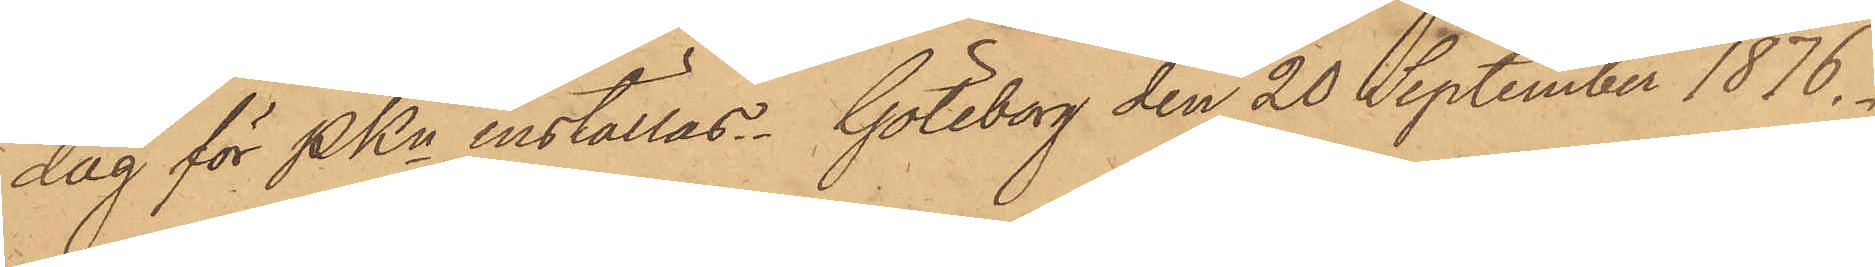dag för PKn inställas. Göteborg den 20 September 1876.
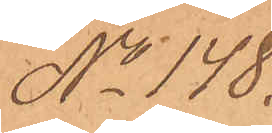No 148.
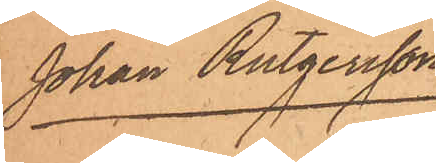Johan Rutgersson
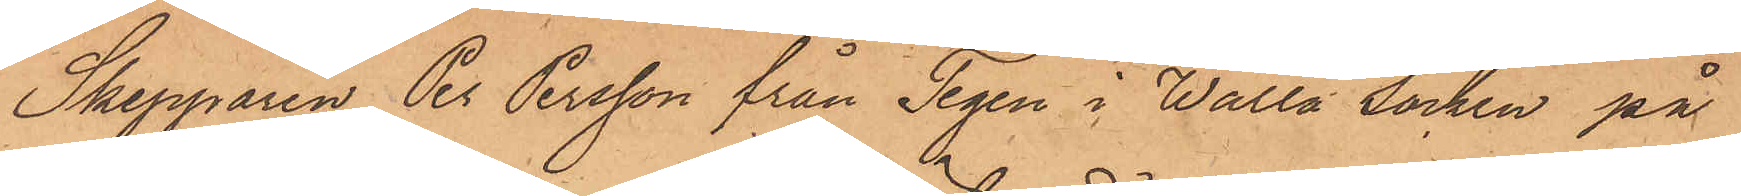Skepparen Per Persson från Tegen i Walla Socken på
